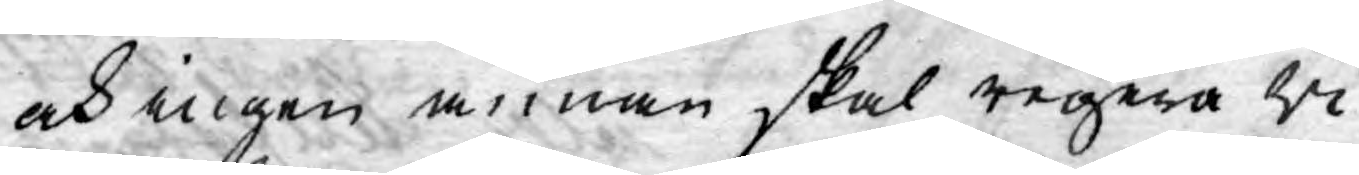och ingen annan skal regera ri¬
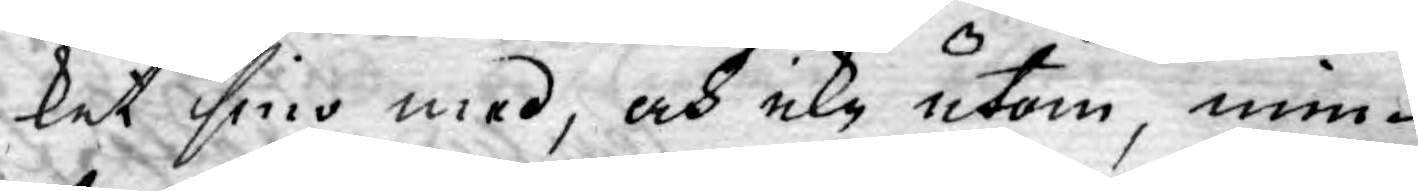ket sino med, och icke utom, min¬
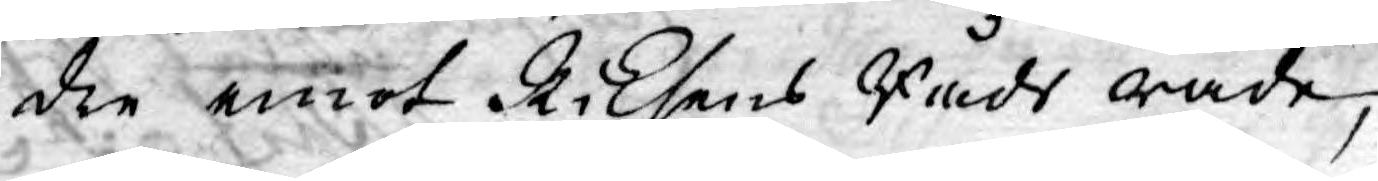dre emot Riksens Råds råde,
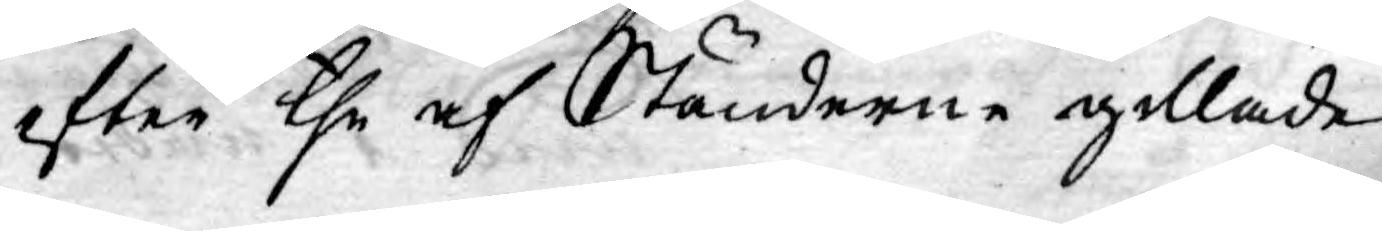efter the af Ständerne gillade
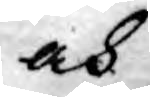och
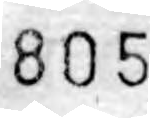805
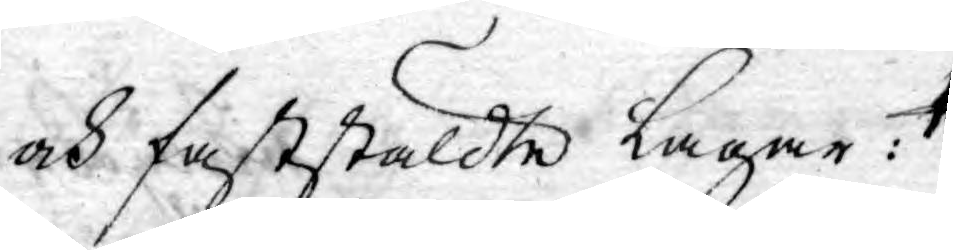och faststäldte Lagar: 
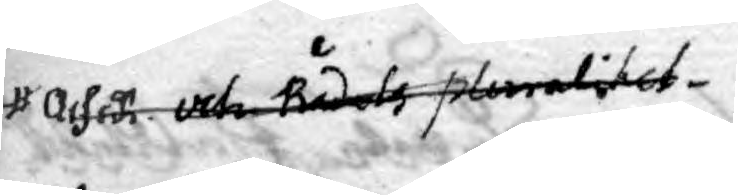ochså och rådets pluralitet
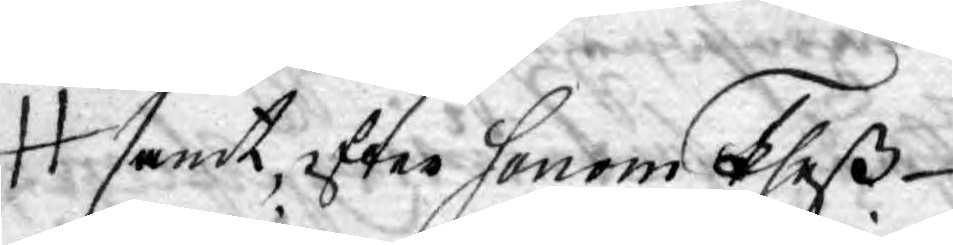samt, efter honom theß
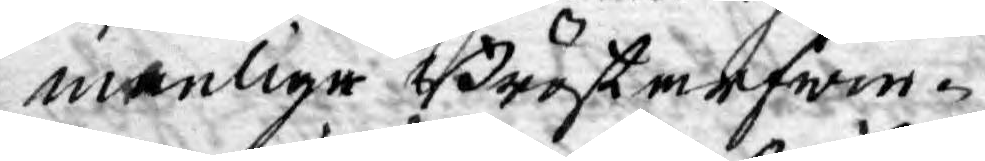manlige Bröstarfwin¬
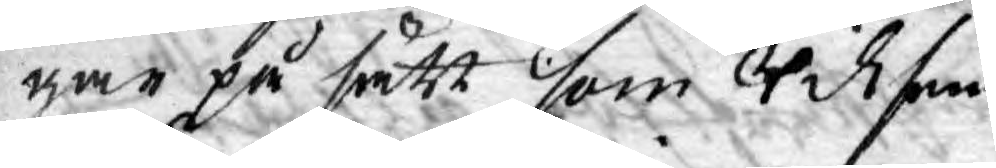gar på sätt som Riksens
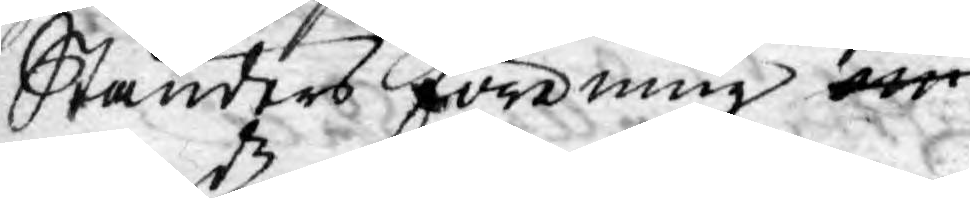Ständers förening om
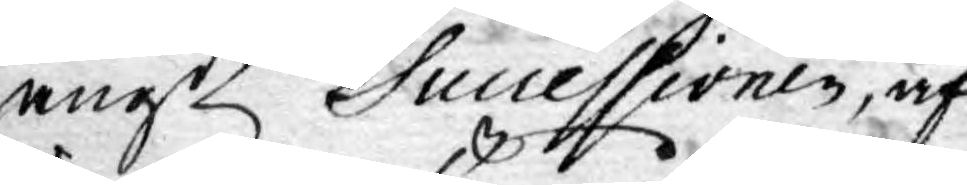angde Sucessionen, af
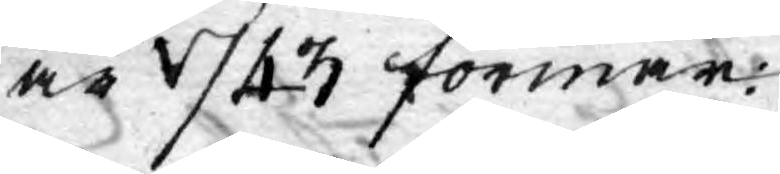år 1743 förmår.
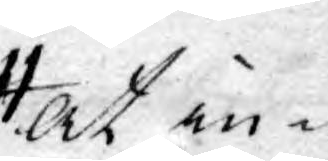at in¬
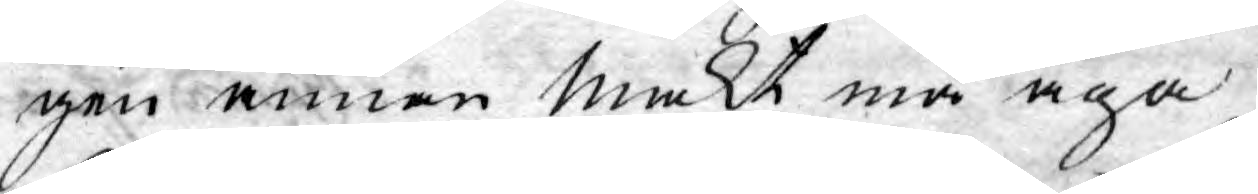gen annan makt må äga
